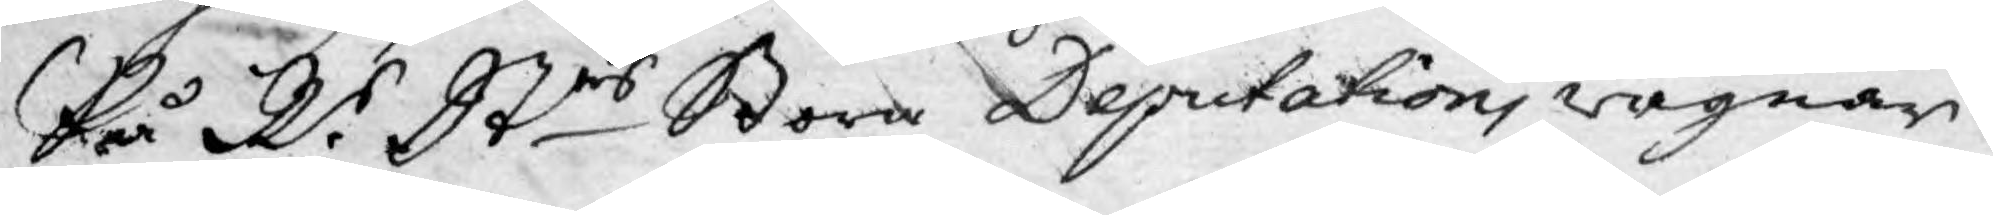På Rr Strs Stora Deputations wägnar.
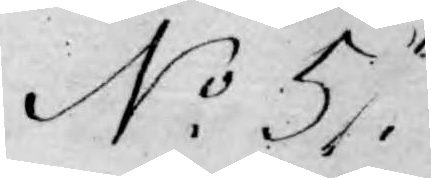No 5.
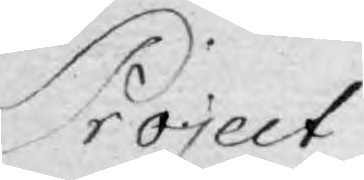Project
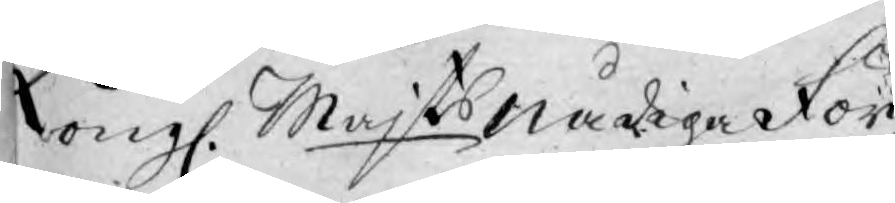Kongl. Majts nådiga För¬
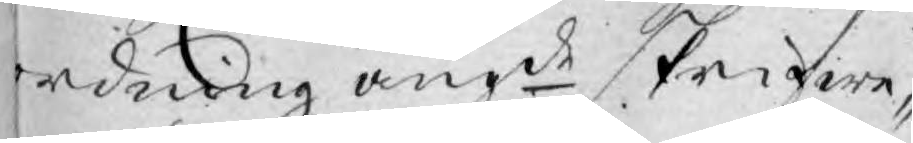ordning angde skrifwe-
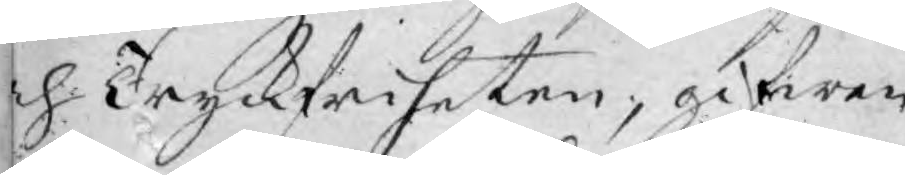och Tryckfriheten, gifwen
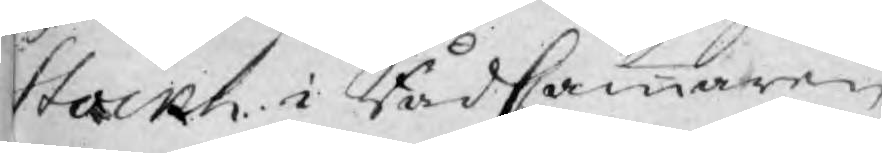Stockh. i RådCammaren
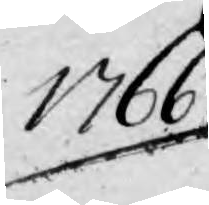1766.
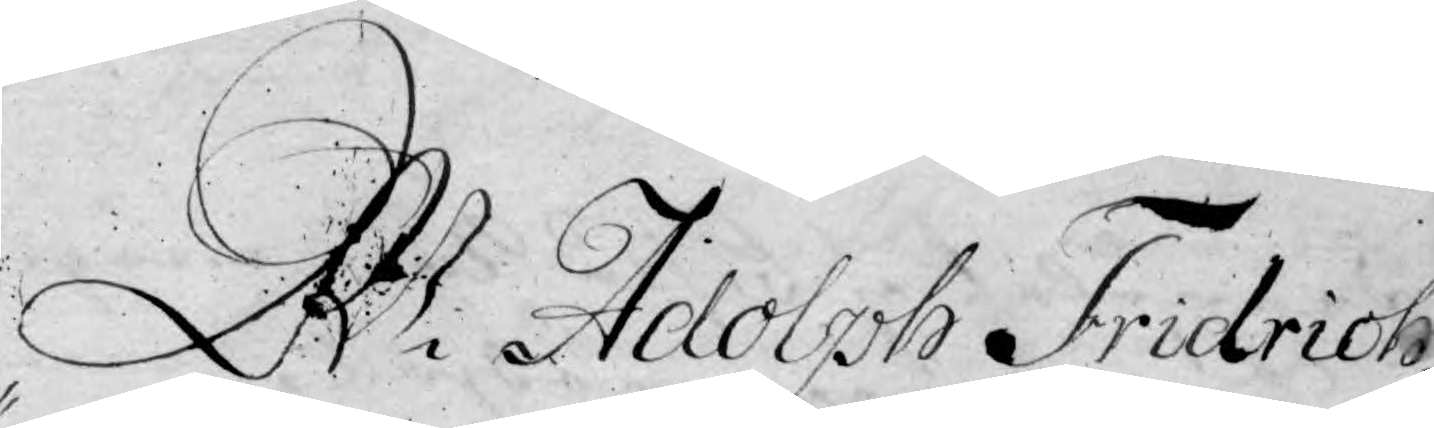M Adolph Fridich
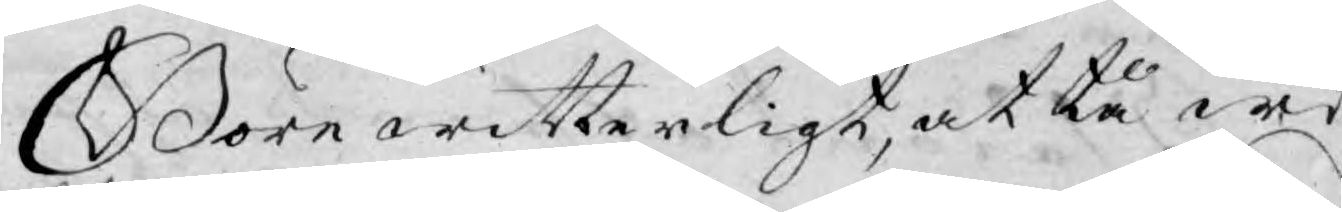Böre witterligt, at tå wi
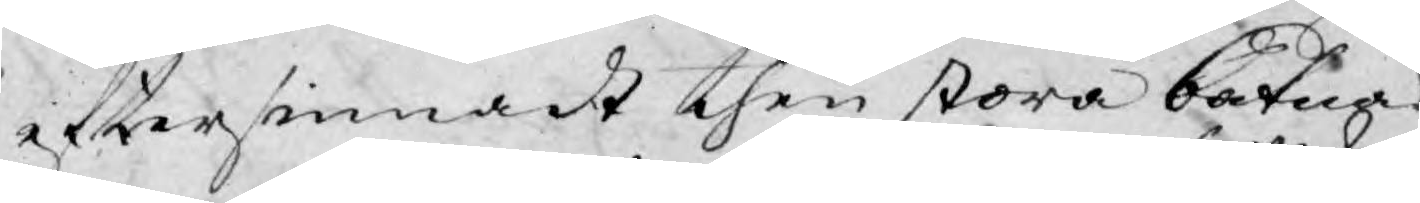eftersinnadt then stora båtna
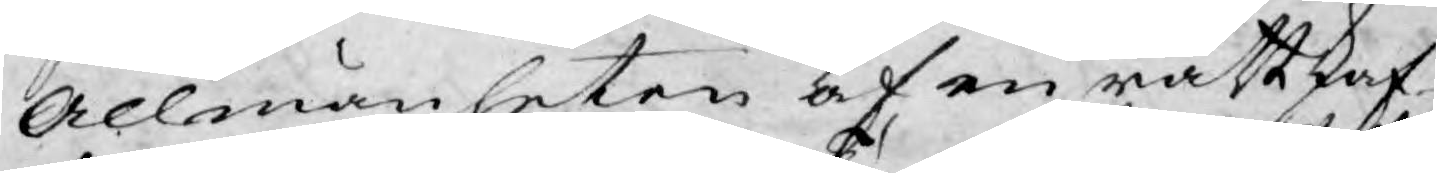Allmänheten af en rättskaf¬
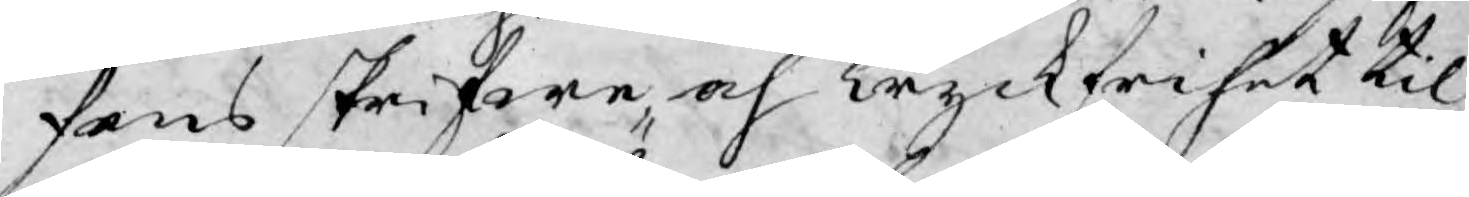fens skrifwe- och Tryckfrihet til¬
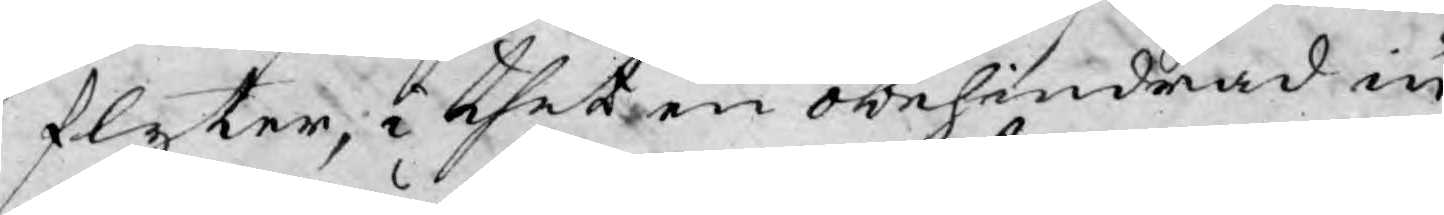flyter; i thet en obehindrad in¬
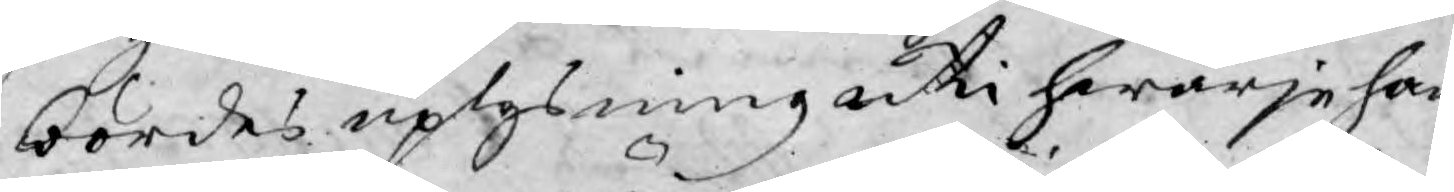bördes uplysning uti hwarje han¬
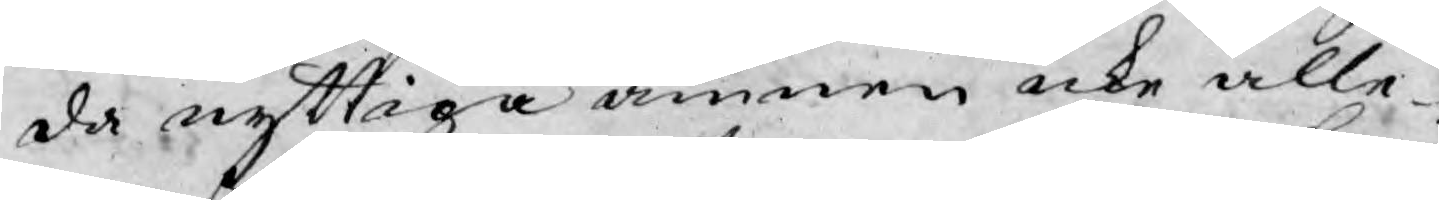da nyttiga ämnen icke alle¬
